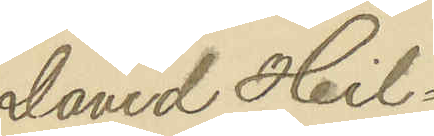David Hil¬
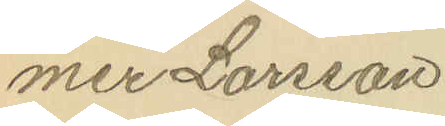mer Larsson
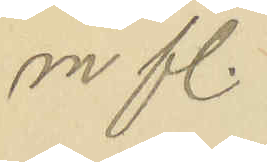m. fl.
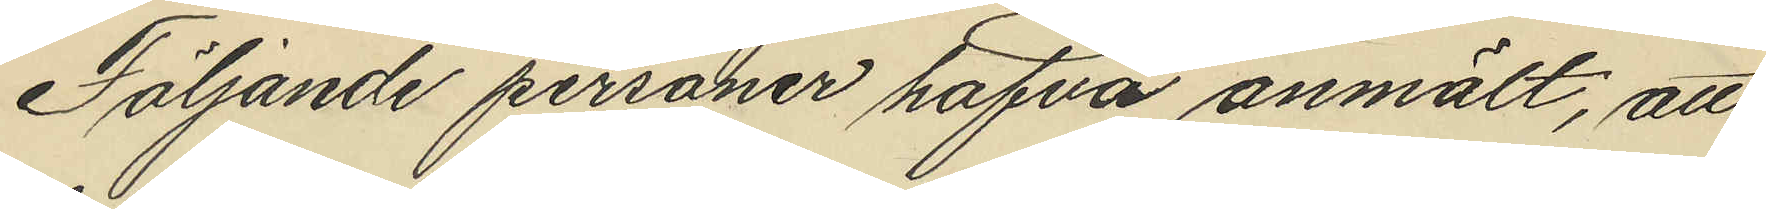Följande personer hafva anmält, att
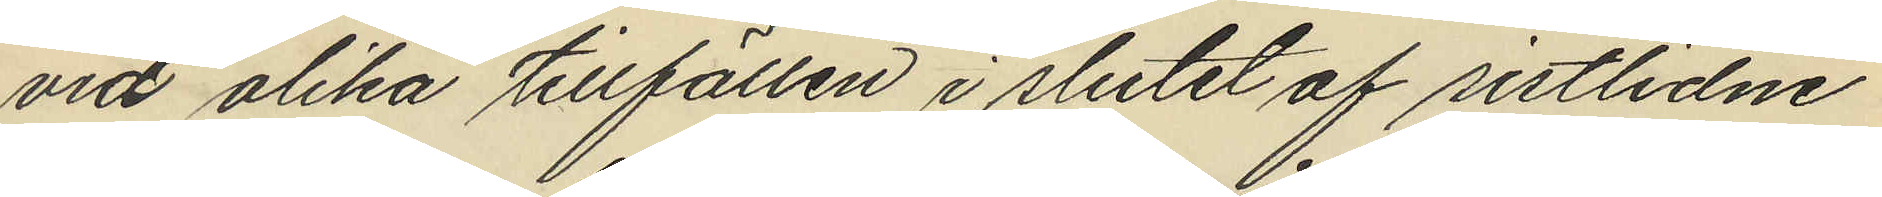vid olika tillfällen i slutet af sistlidne
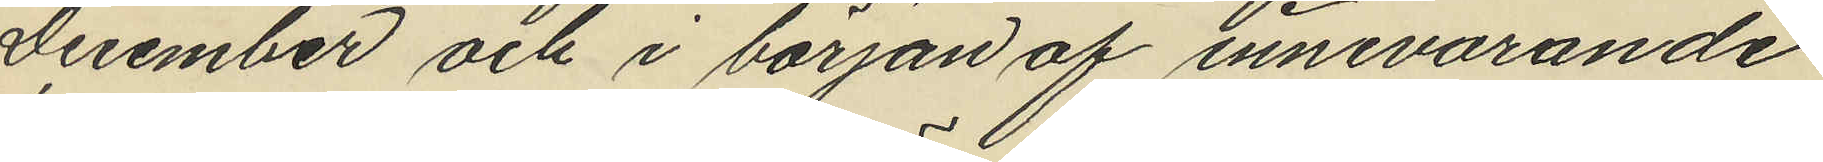December och i början af innevarande
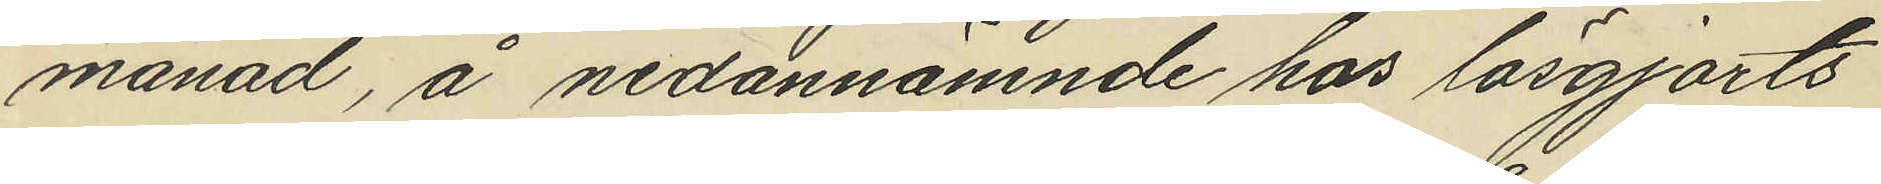månad, å nedannämnde hus lösgjorts
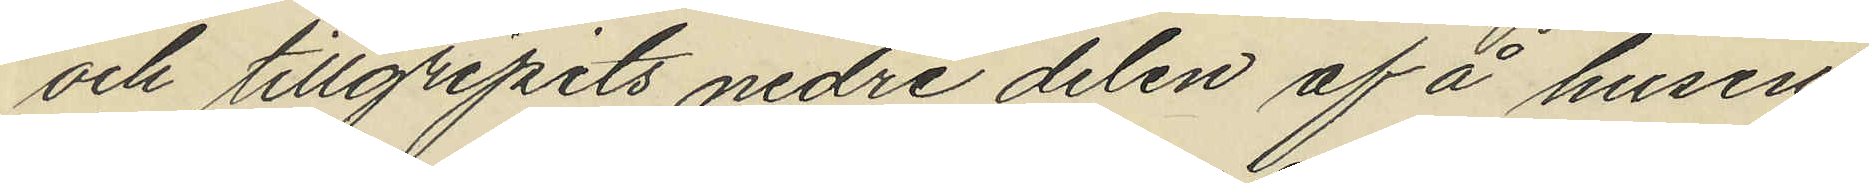och tillgripits nedre delen af å husen
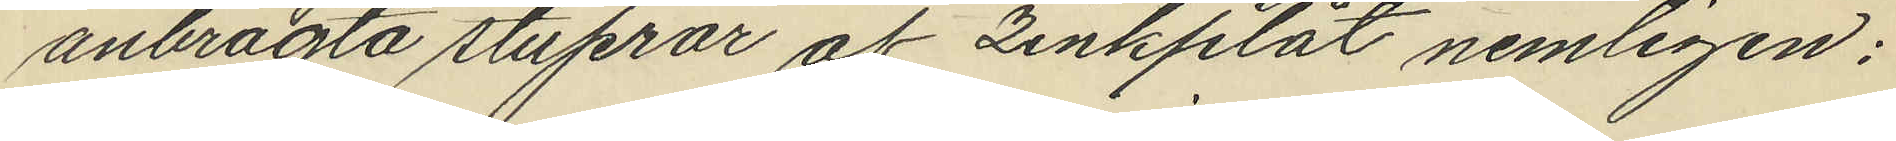anbragta stuprör af zinkplåt nemligen:
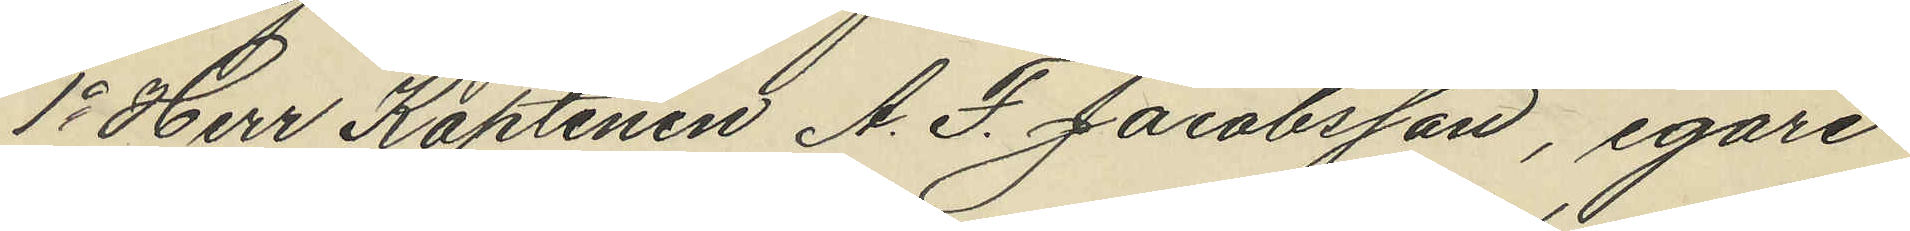1o Herr Kaptenen A. F. Jacobsson, egare
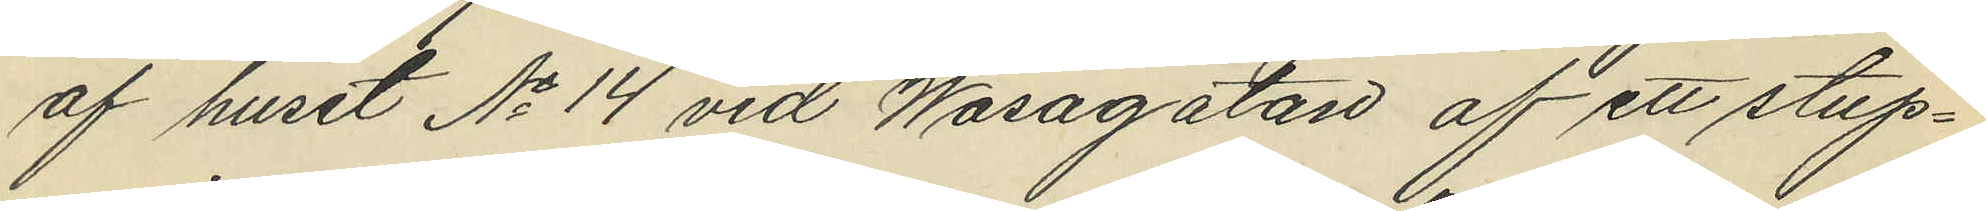af huset No 14 vid Wasagatan af ett stup¬
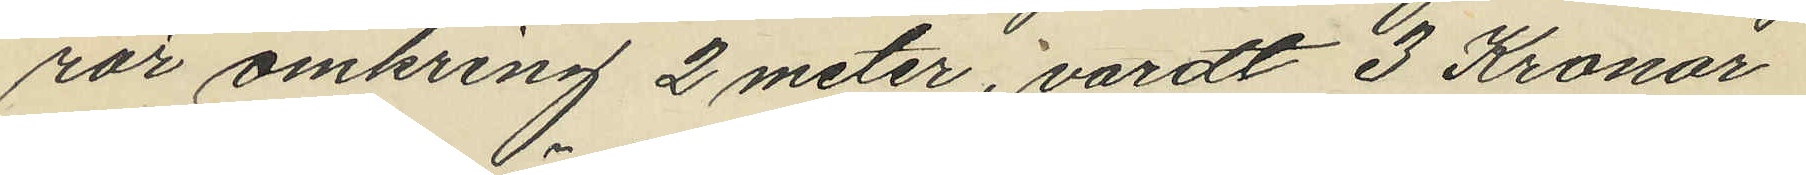rör omkring 2 meter, värdt 3 Kronor
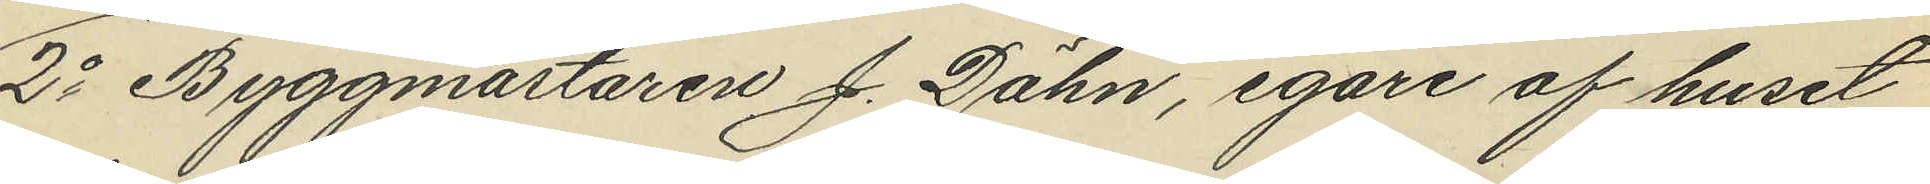2o Byggmästaren J. Dähn, egare af huset
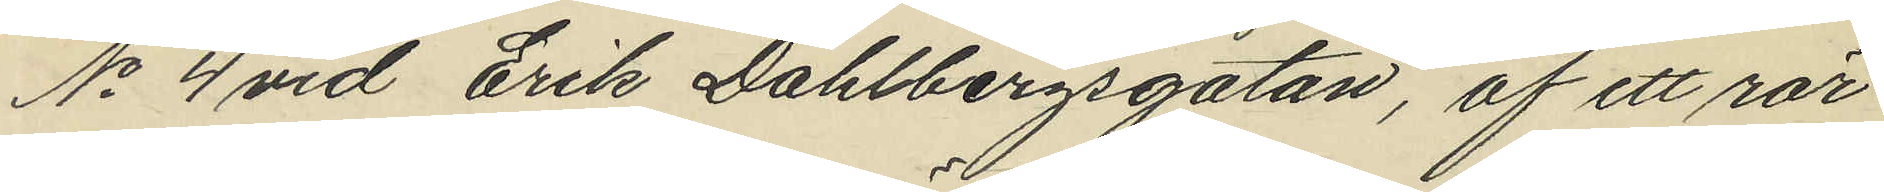No 4 vid Erik Dahlbergsgatan, af ett rör
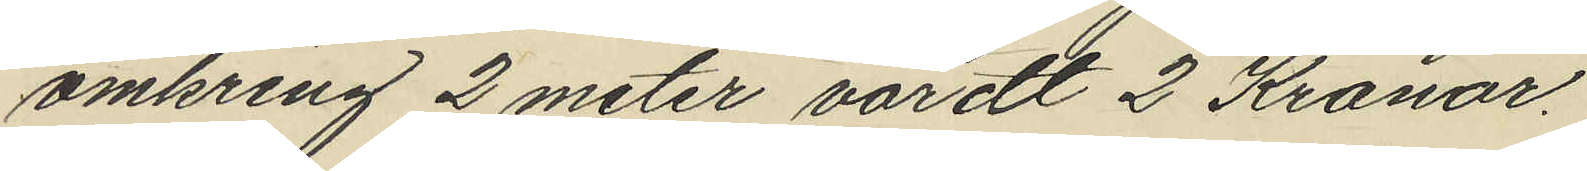omkring 2 meter, värdt 2 Kronor.
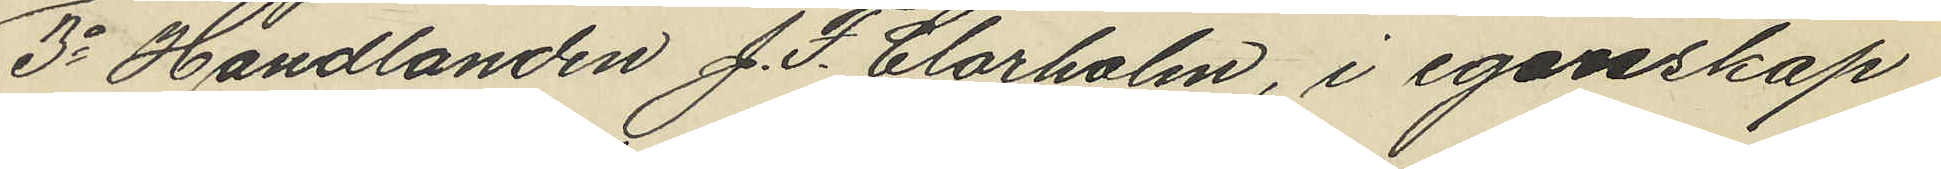3o Handlanden J. F. Clarholm, i egenskap
